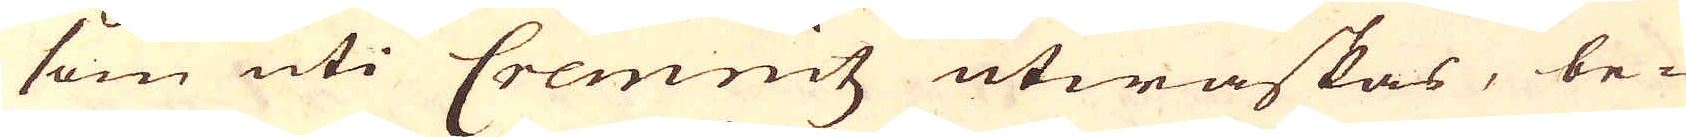som uti Cremnitz utwaskas, be-
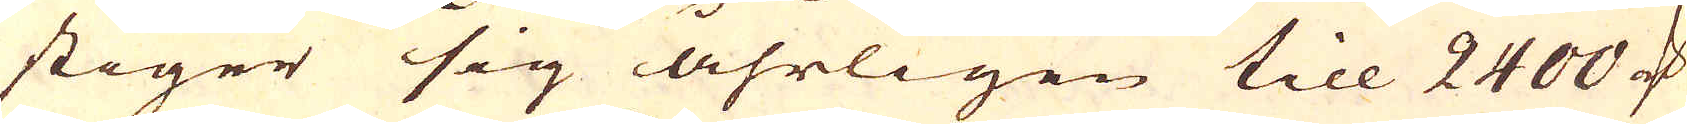stiger sig åhrligen till 2400 marker
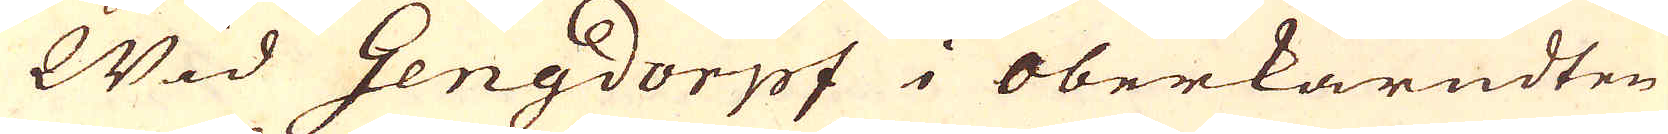Wid Gengdorpf i Oberkärndten
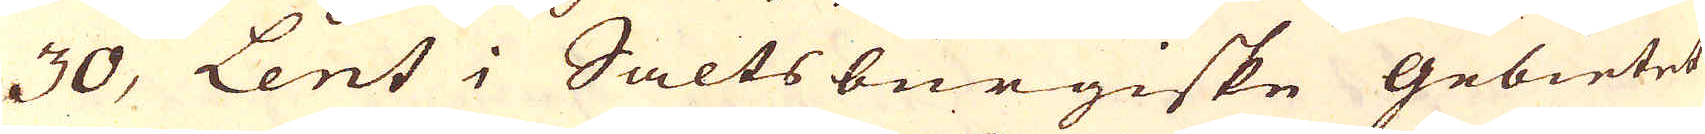30, Lent i Saltsburgiske Gebietet
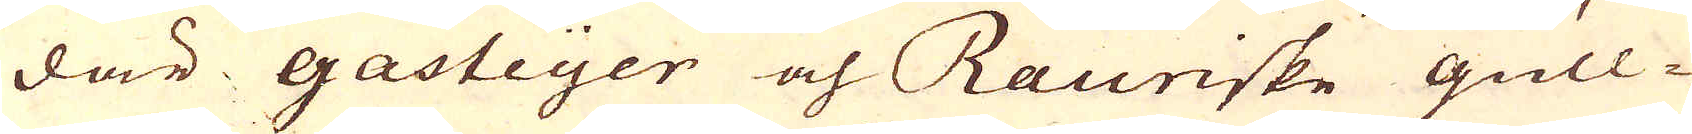där gasteyer och Rauriske gull-
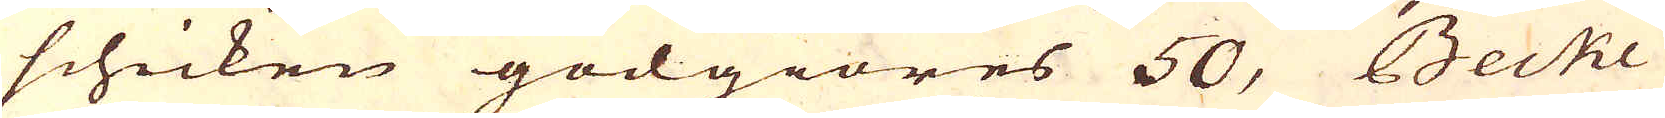schicken godgiöres 50, Becke
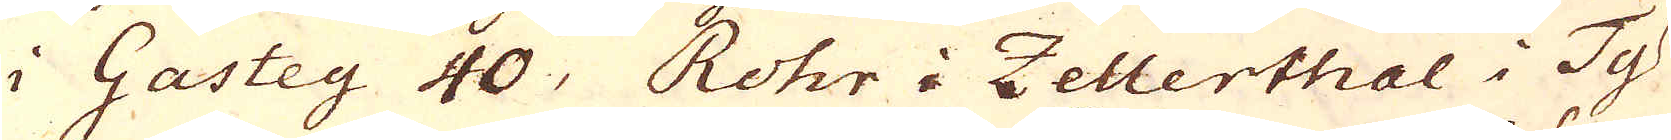i Gastey 40, Rohr i Zellerthal i Ty-
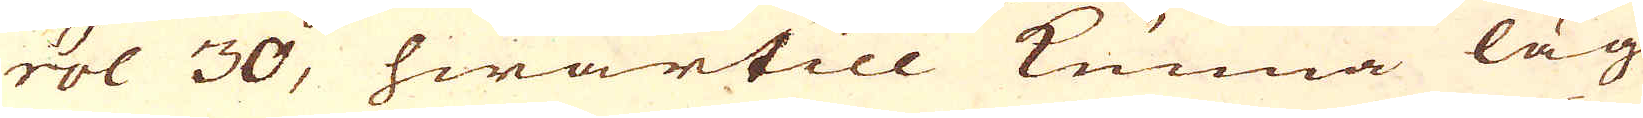rol 30, hwartill kunna läg
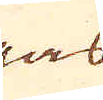gas
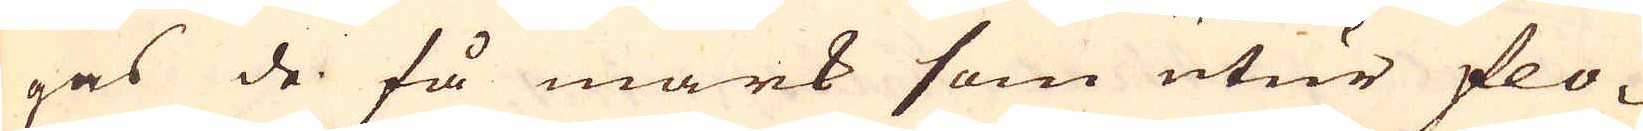gas de få mark som utur flo-
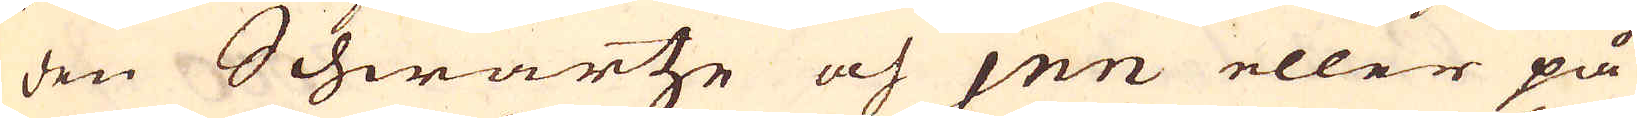den Schwartze och jen eller på
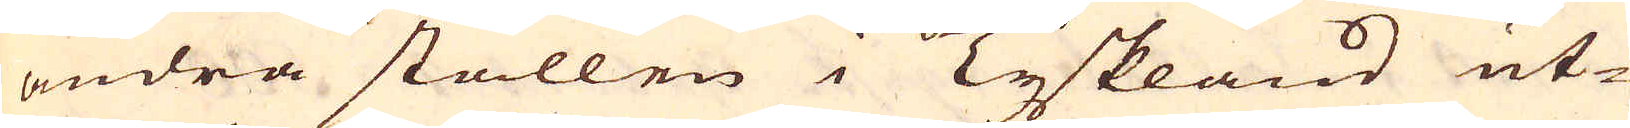andra ställen i Tyskland ut-
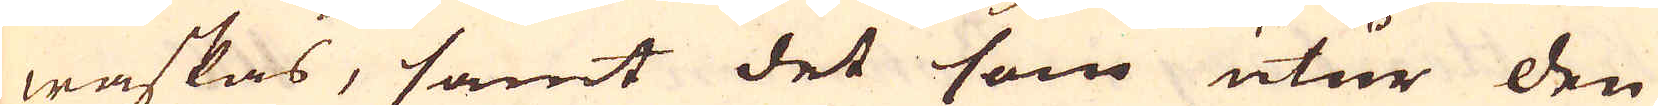waskas, samt det som utur den
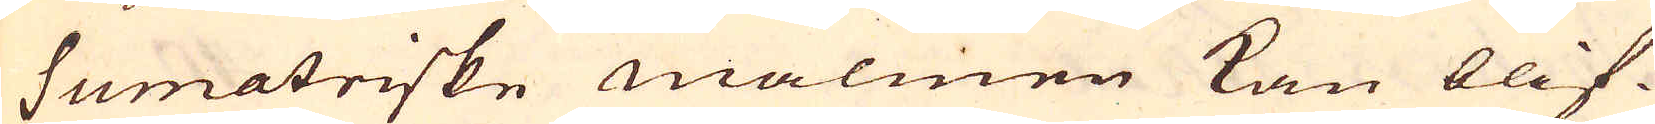sumatriske malmen kan blif-
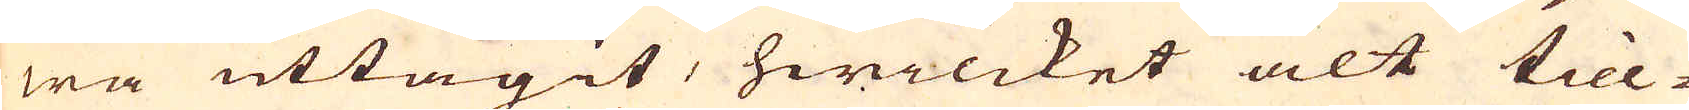wa uttagit, hwilcket alt till-
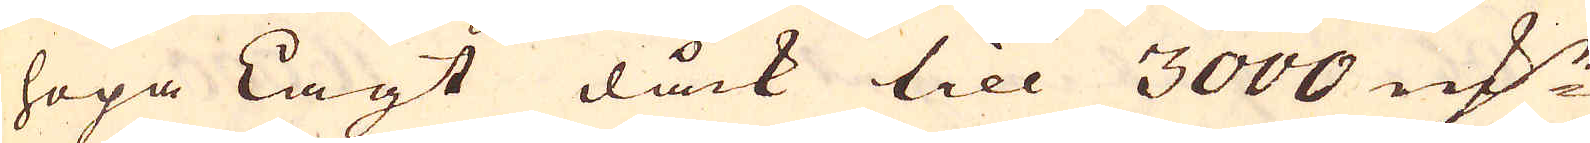hopa Lagt dåck till 3000 marker
